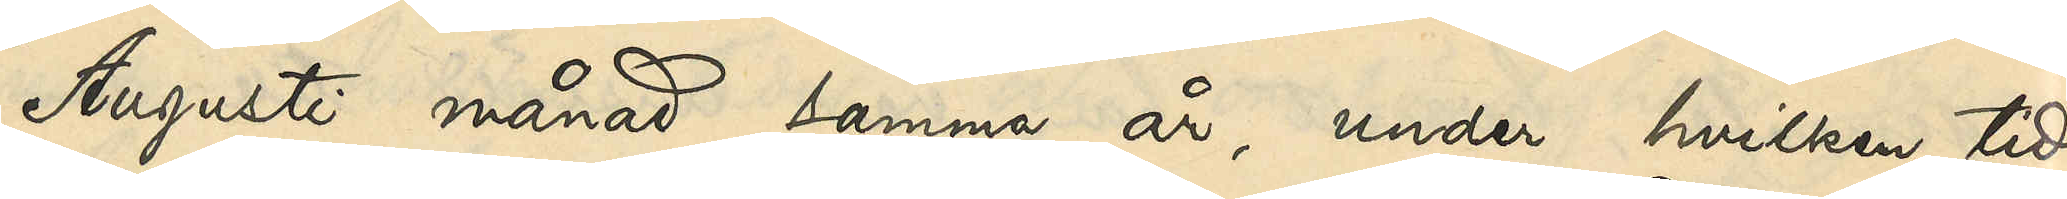Augusti månad samma år, under hvilken tid
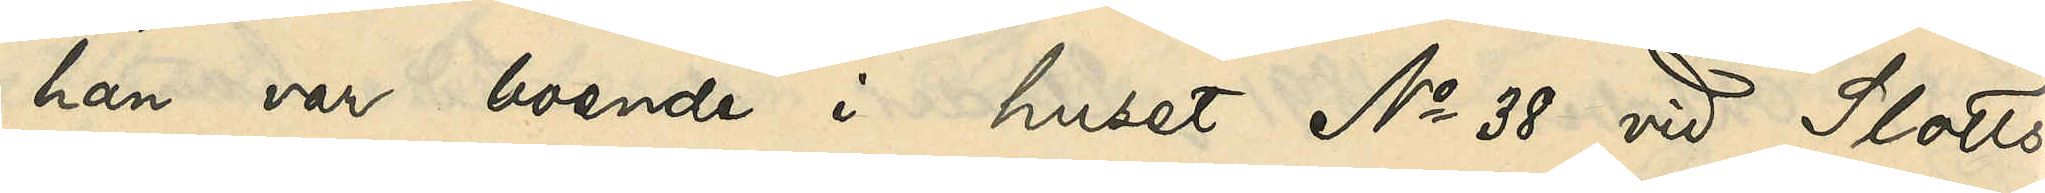han var boende i huset No 38 vid Slotts¬
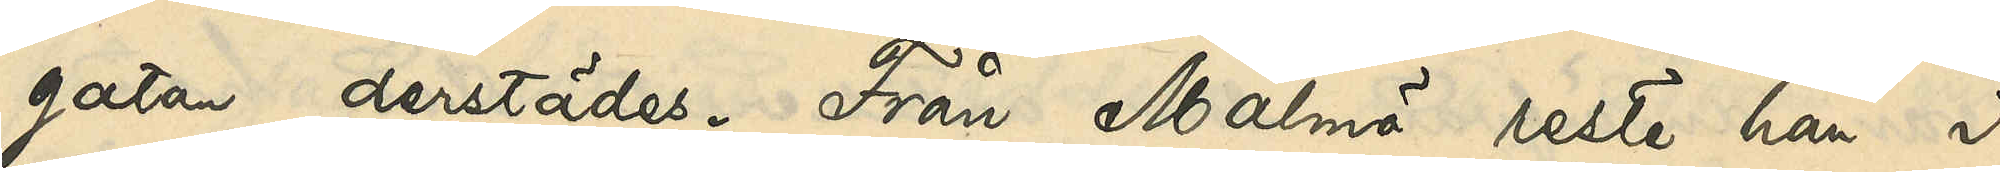gatan derstädes. Från Malmö reste han i
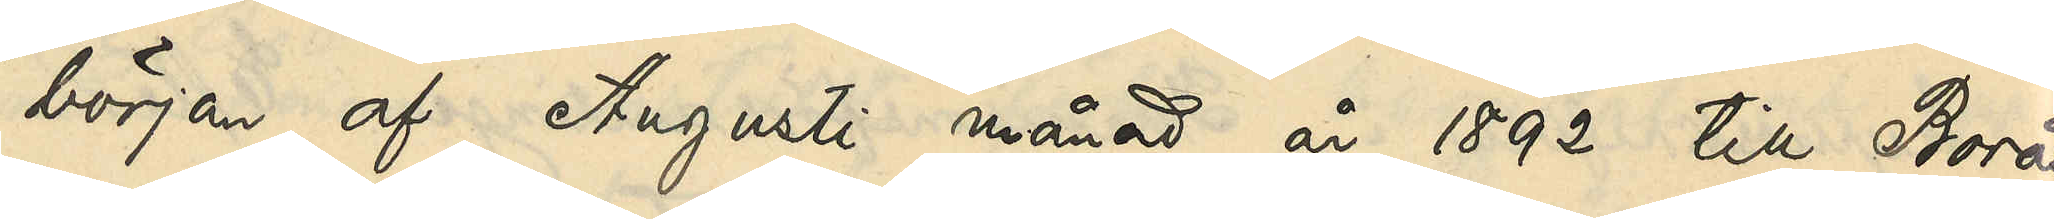början af Augusti månad år 1892 till Borås
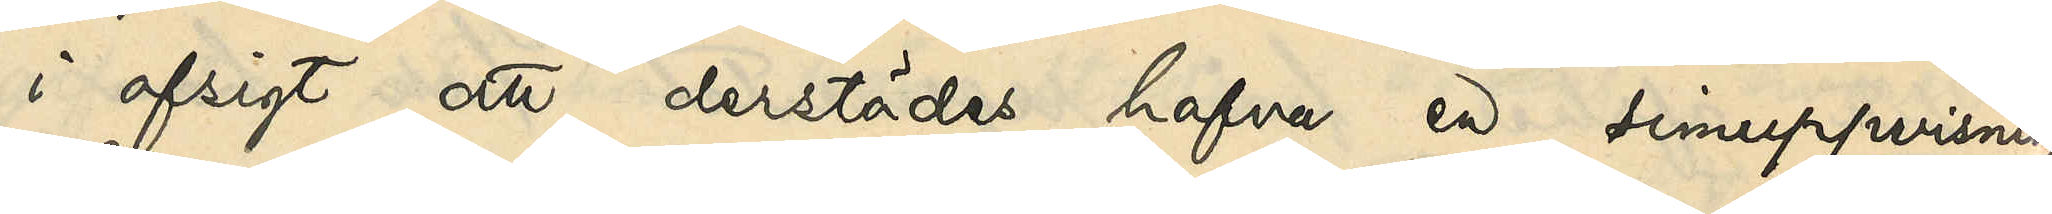i afsigt att derstädes hafva en simuppvisning.
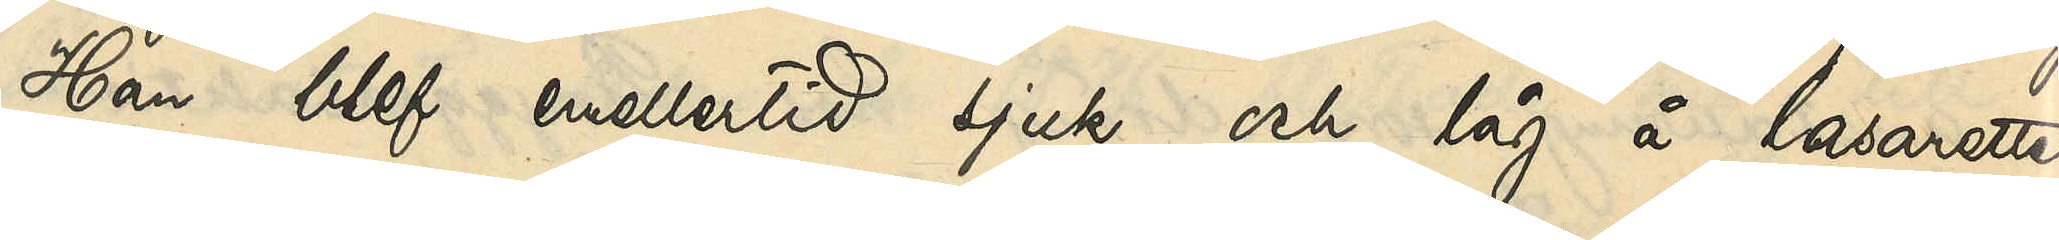Han blef emellertid sjuk och låg å lasarettet
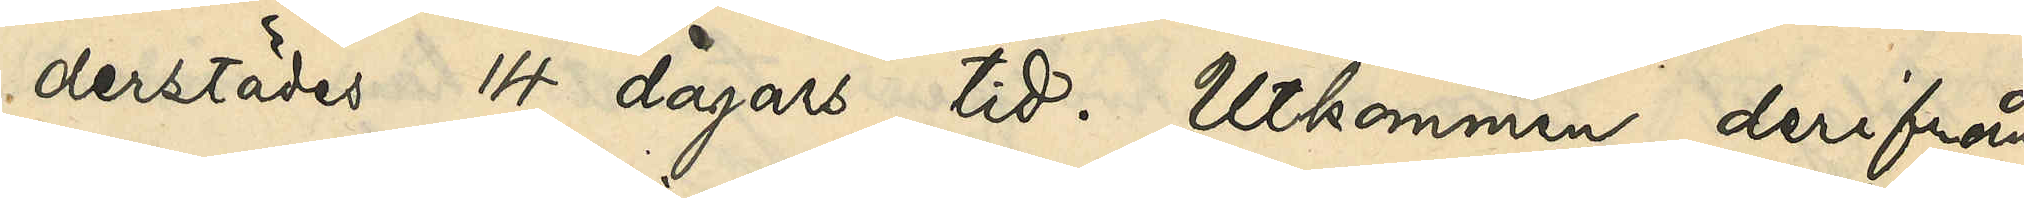derstädes 14 dagars tid. Utkommen derifrån
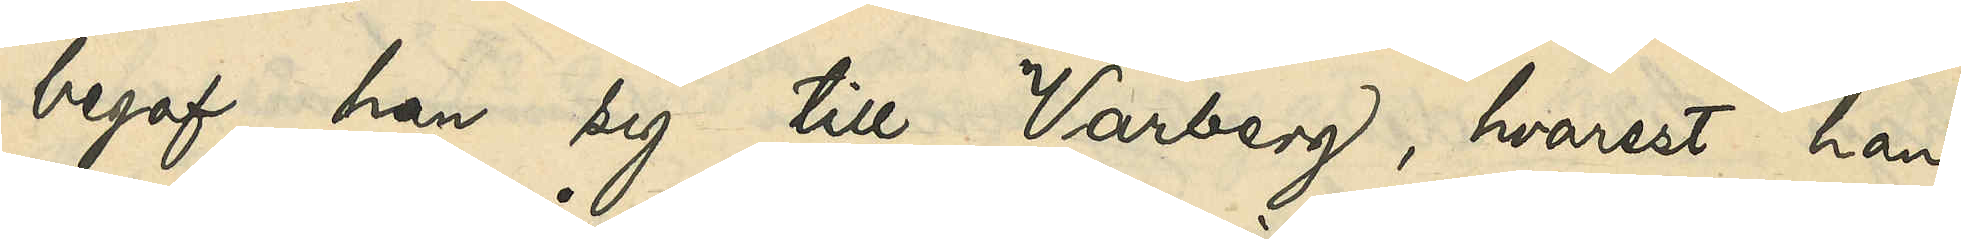begaf han sig till Varberg, hvarest han
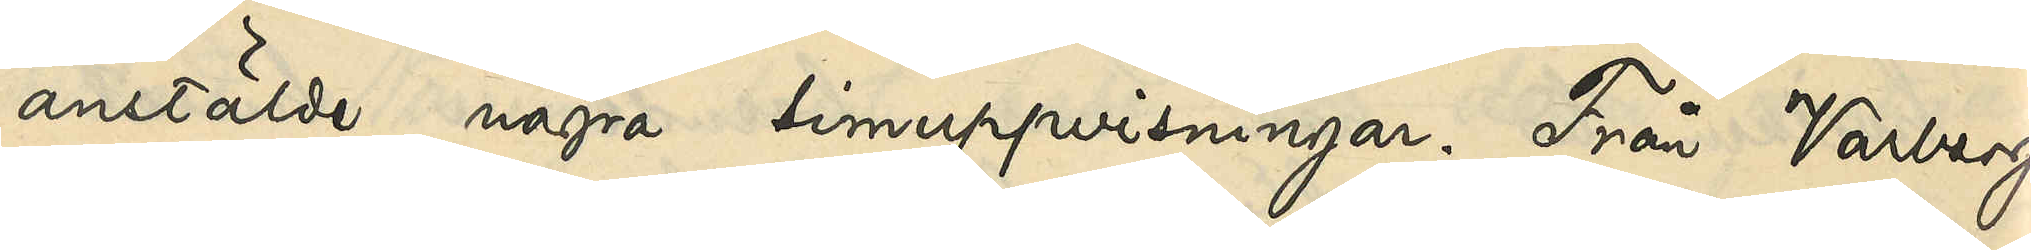anstälde några simuppvisningar. Från Varberg
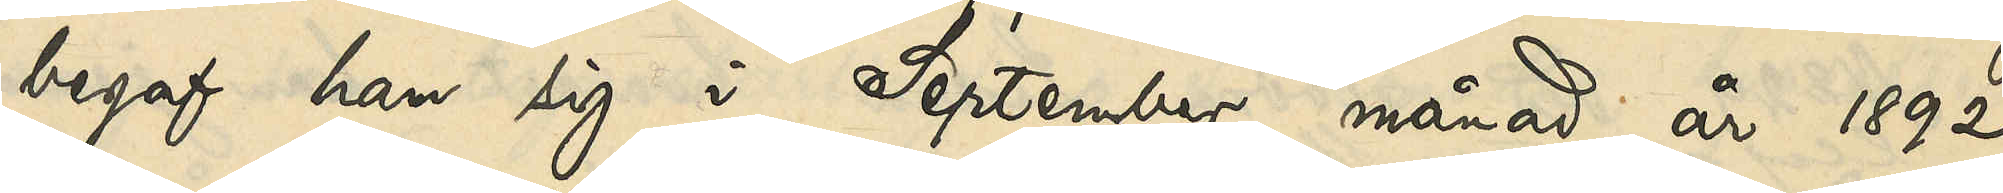begaf han sig i September månad år 1892
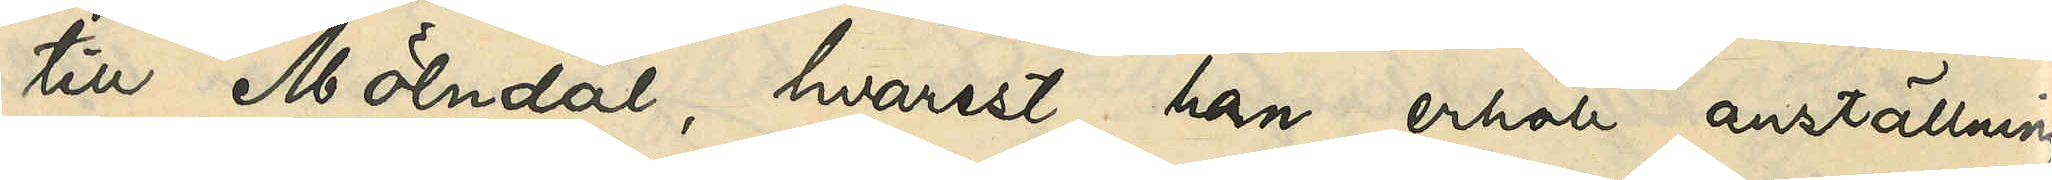till Mölndal, hvarest han erhöll anställning
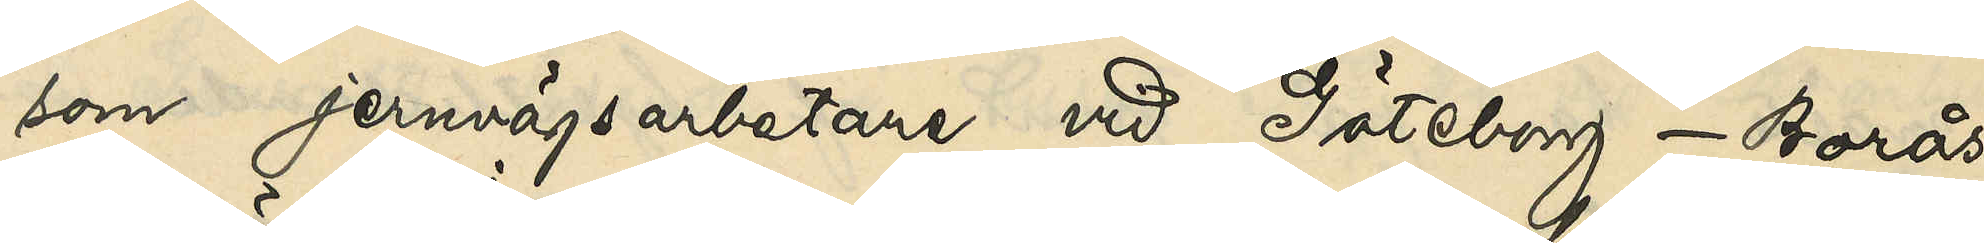som jernvägsarbetare vid Göteborg - Borås
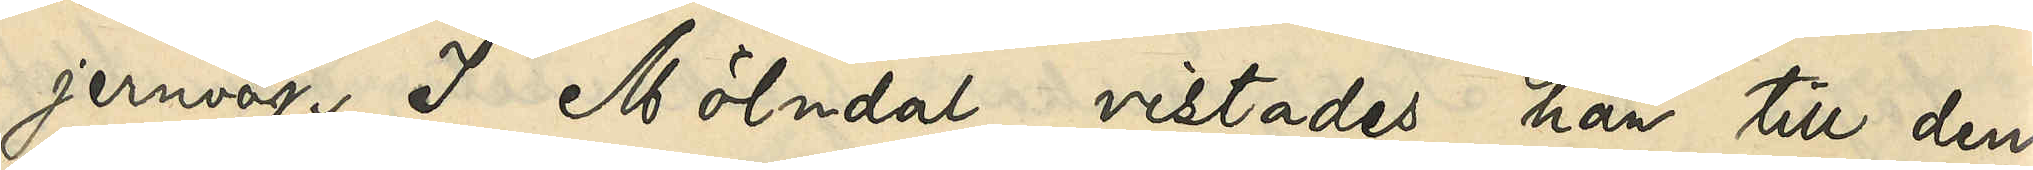jernväg. I Mölndal vistades han till den
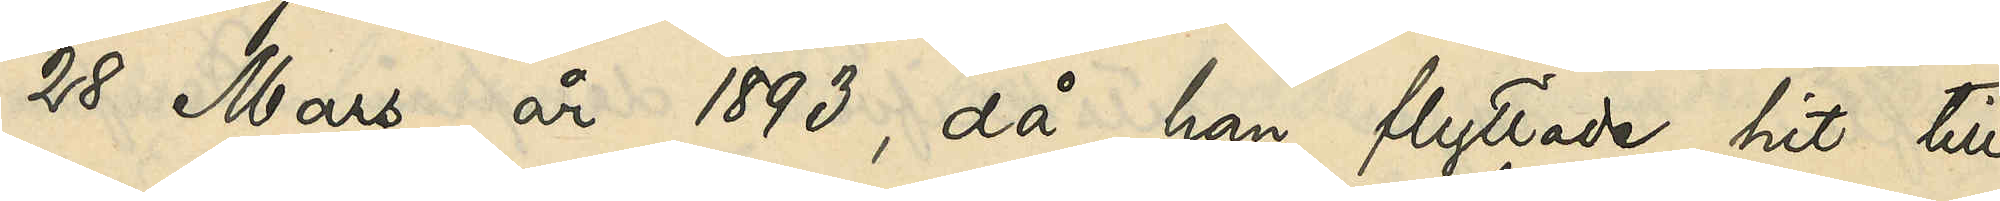28 Mars år 1893, då han flyttade hit till
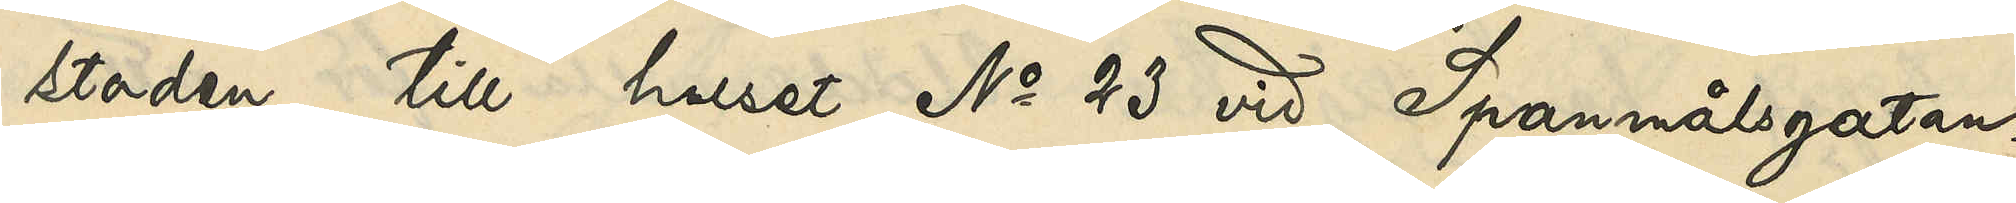staden till huset No 23 vid Spannmålsgatan.
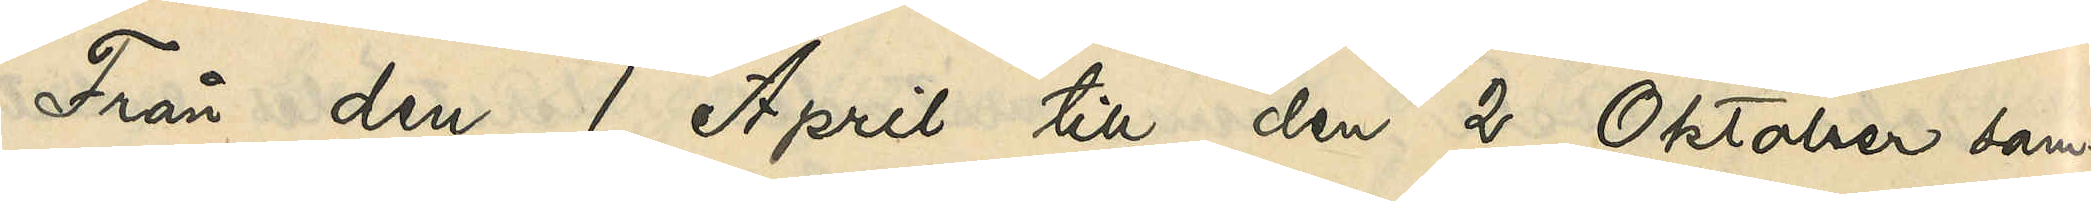Från den 1 April till den 2 Oktober sam¬
